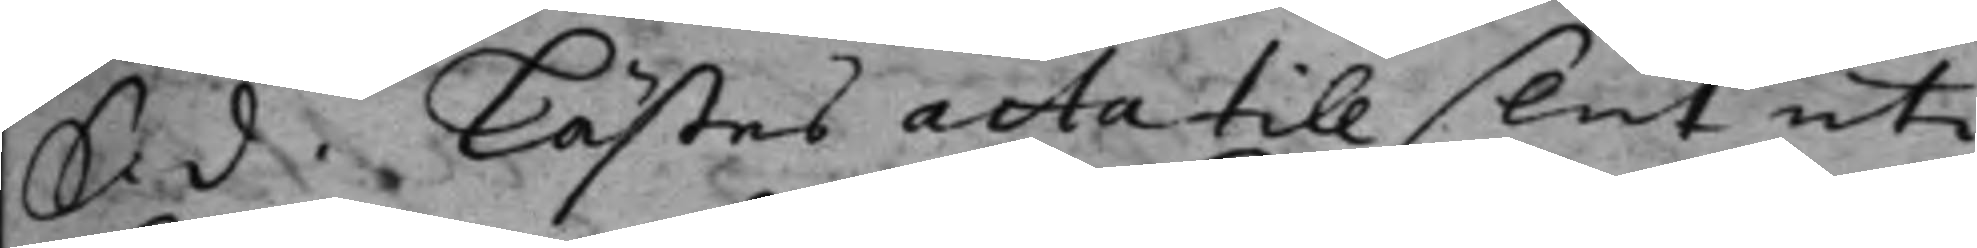S. d. Lästes acta till slut uti
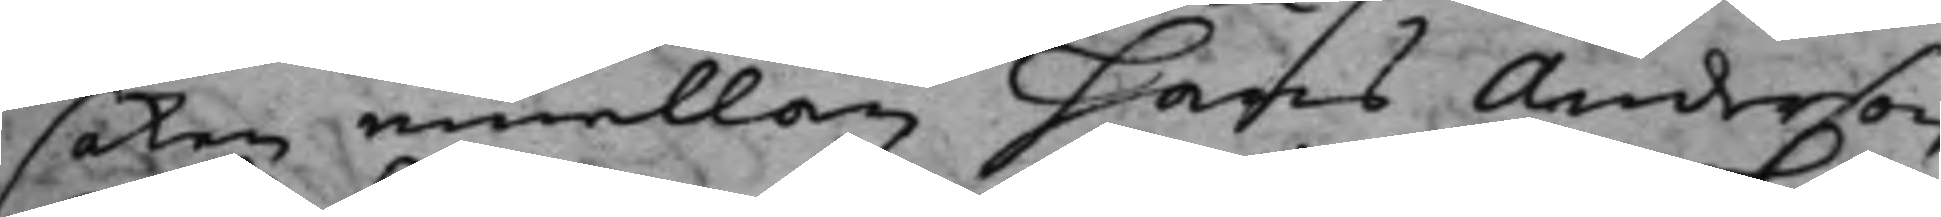saken emellan Hans Anderson
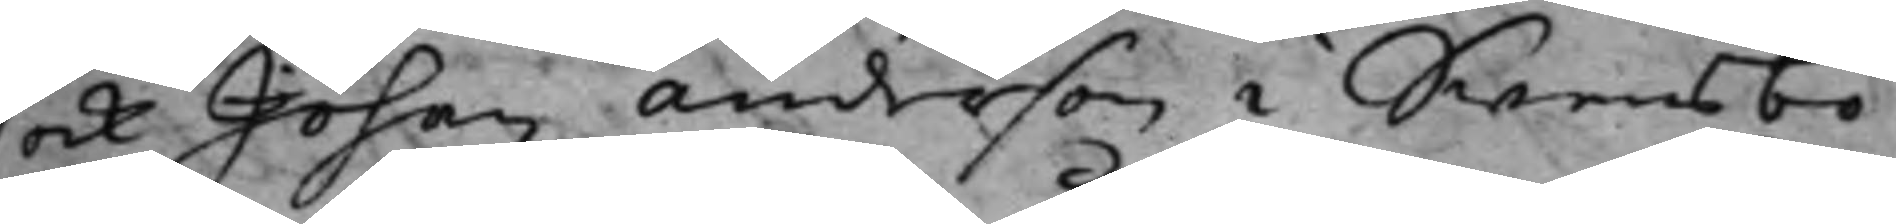ock Johan anderson i Swensbo.
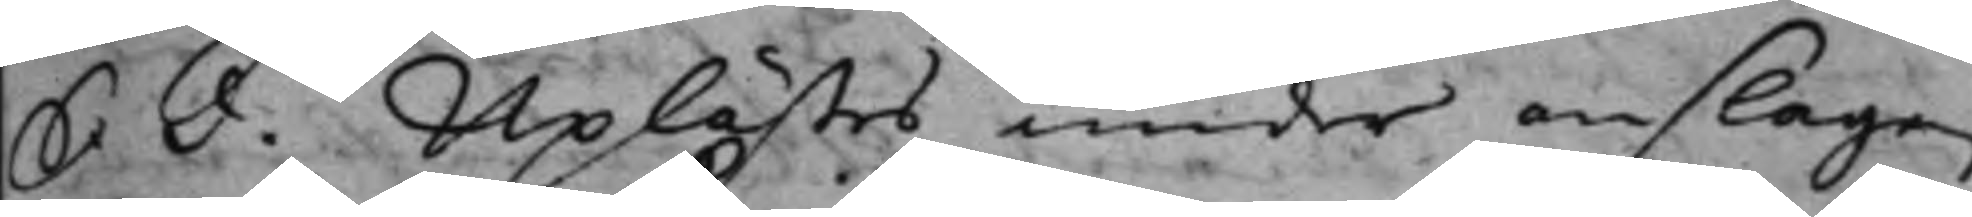S. d. Uplästes under anslagen
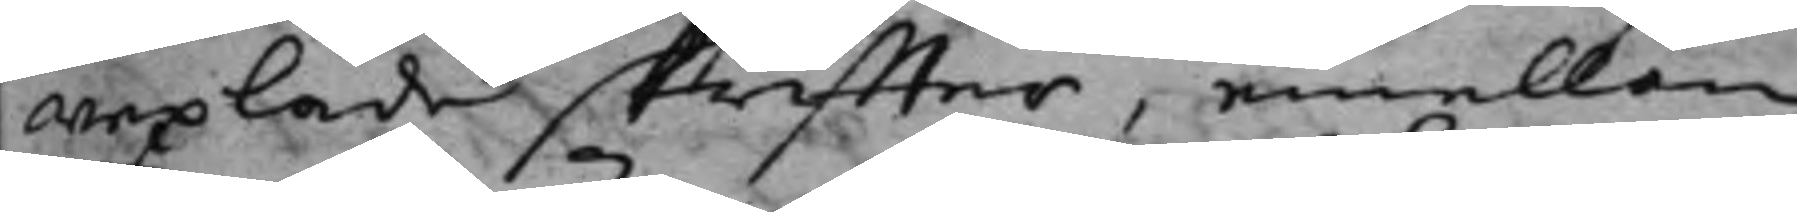wexlade skriffter, emellan
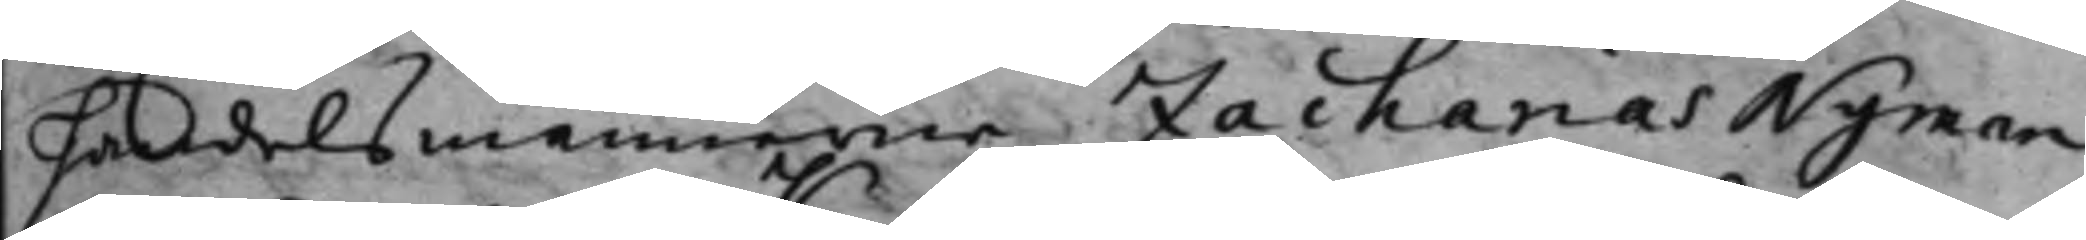handelsmännerne Zacharias Nyman
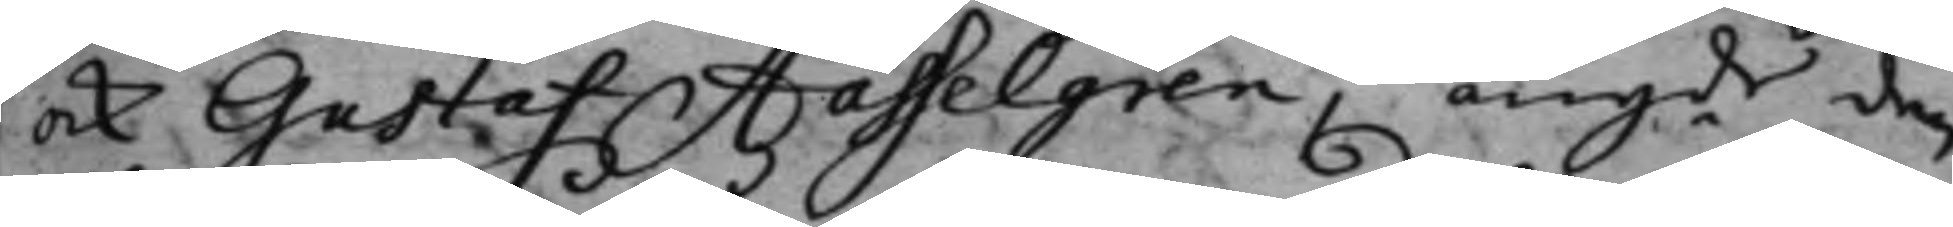ock Gustaf Hasselgren, angde den
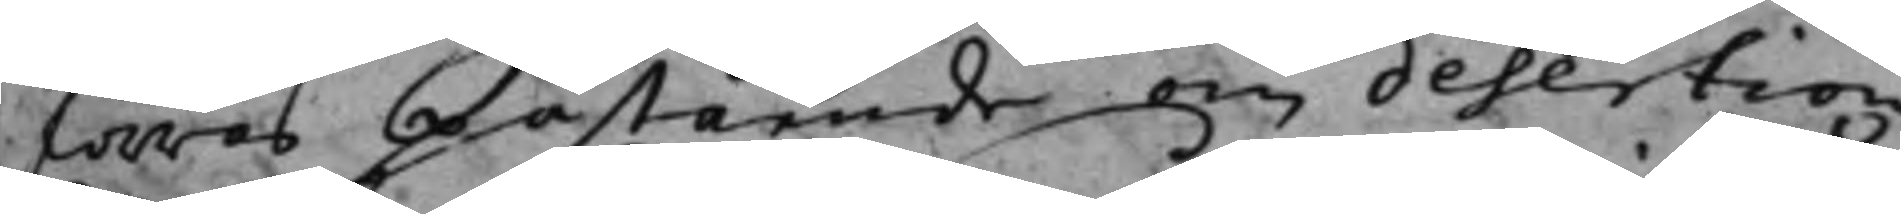förras påstående om desertion
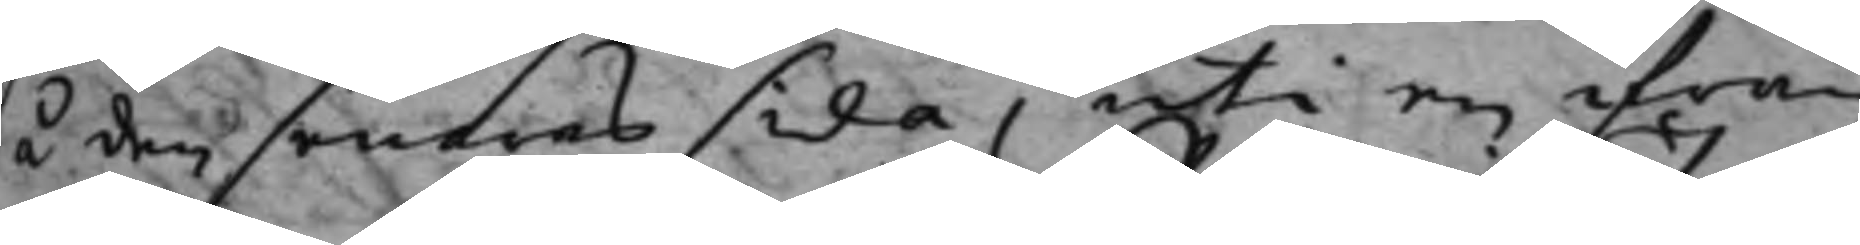så den senares sida, uti en ifrån
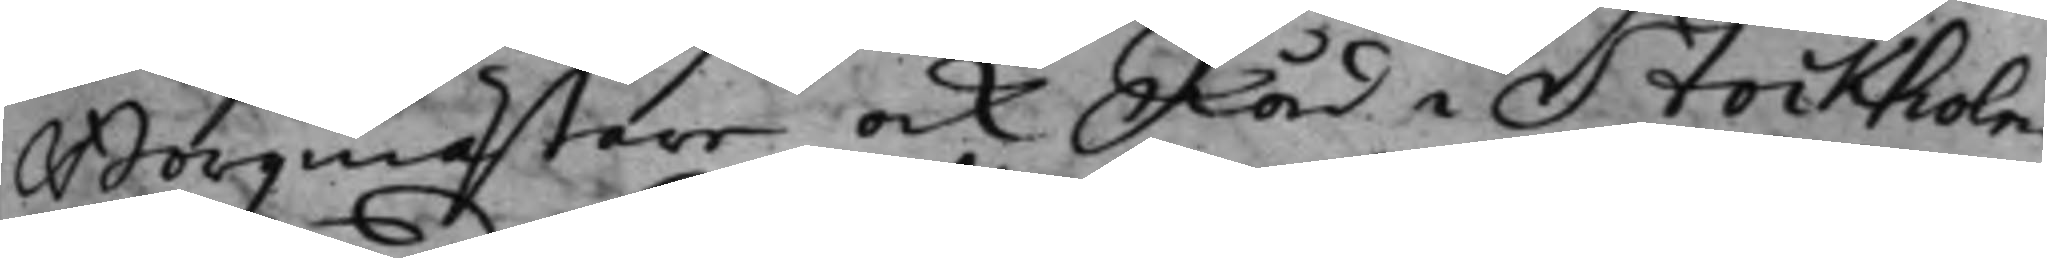Borgmästare ock Råd i Stockholm
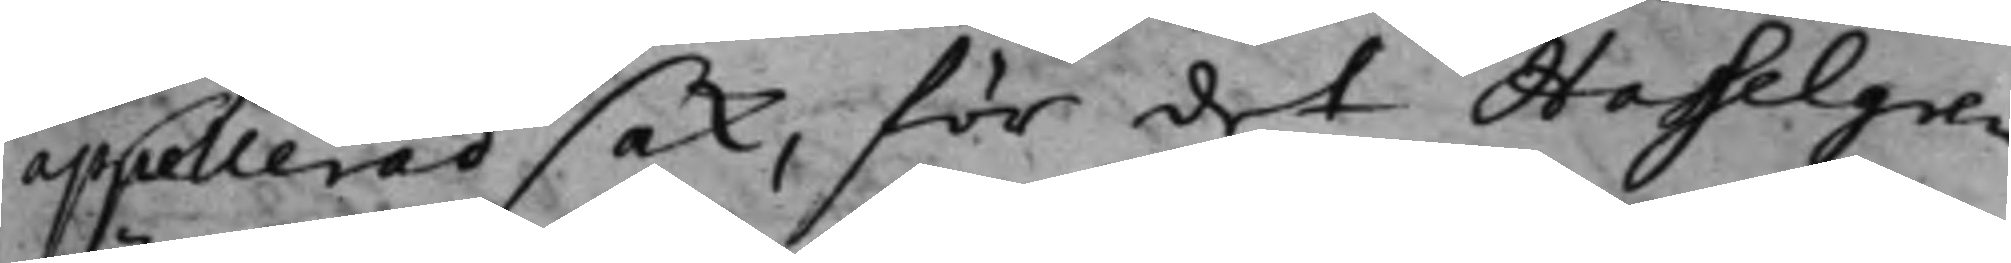appellerad sak, för det Hasselgren
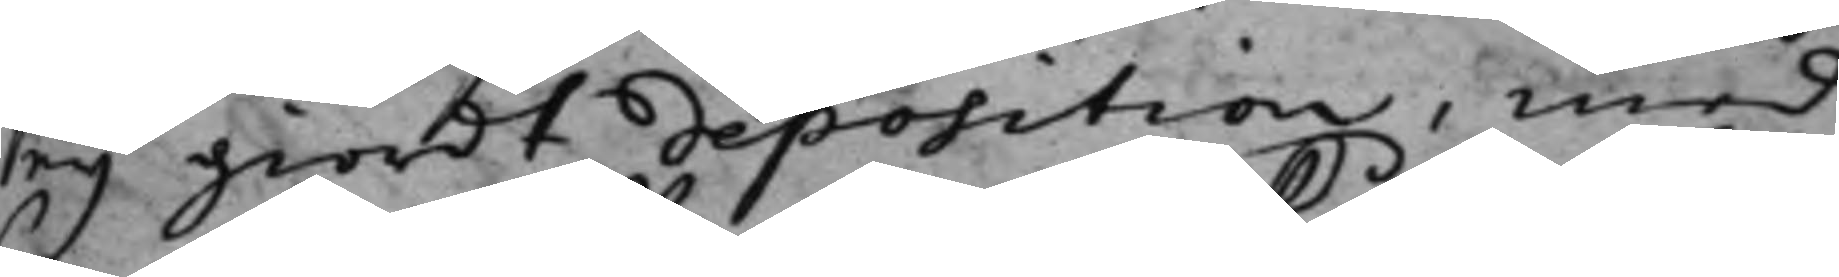eij giordt deposition, med
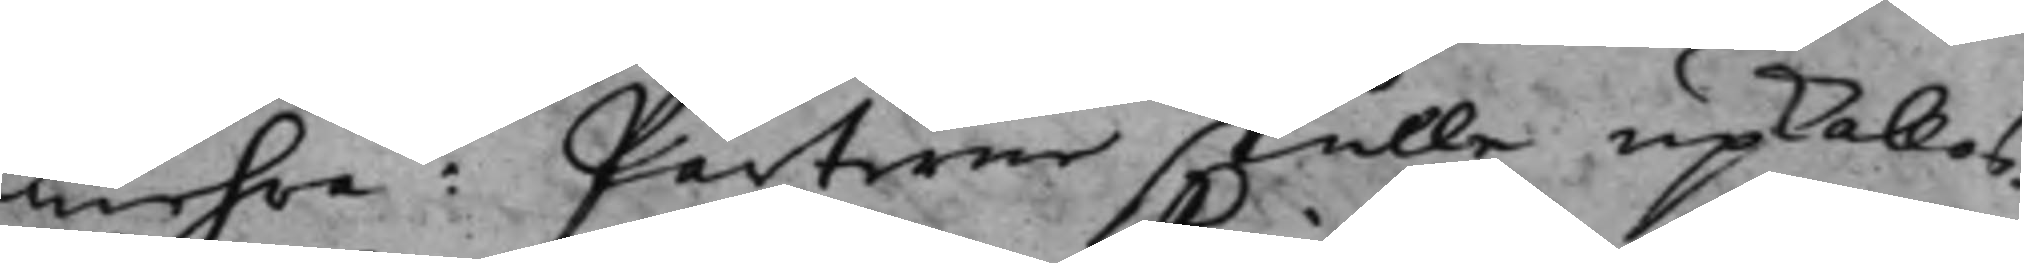mehra: Parterne skulle upkallas.
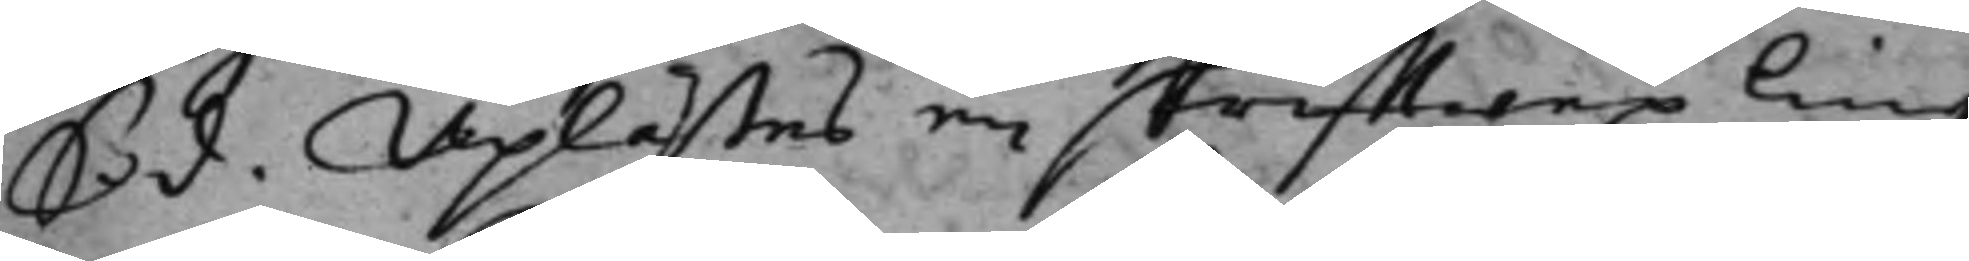S. d. Uplästes en skrifftwexling
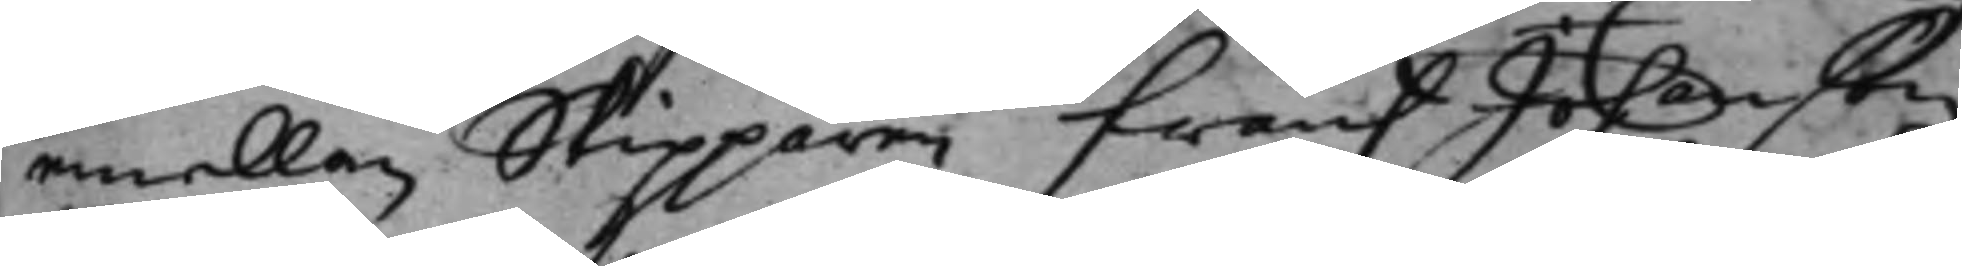emellan Skipparen Frans Johanson,
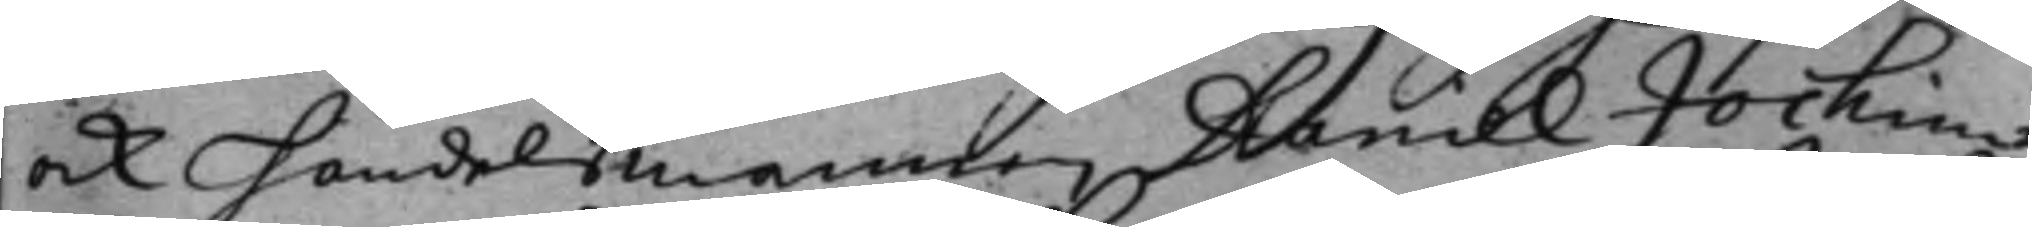ock handelsmannen Daniel Jochim¬
